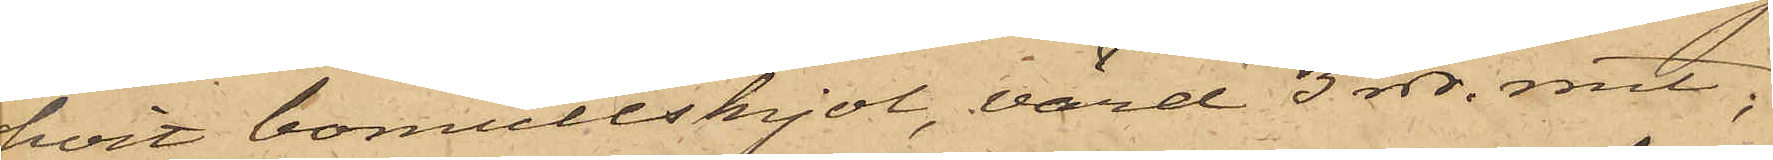hvit bomullskjol, värd 3 rdr. rmt;
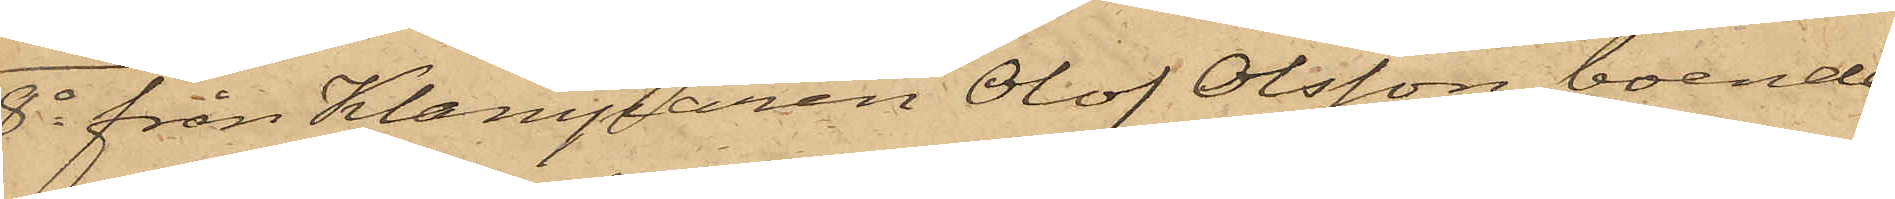8o från Klamparen Olof Olsson, boende
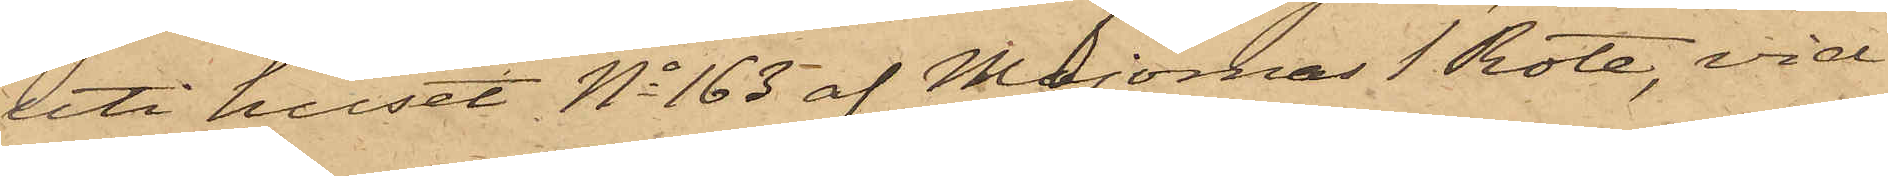uti huset No 163 af Majornas 1 Rote, vid
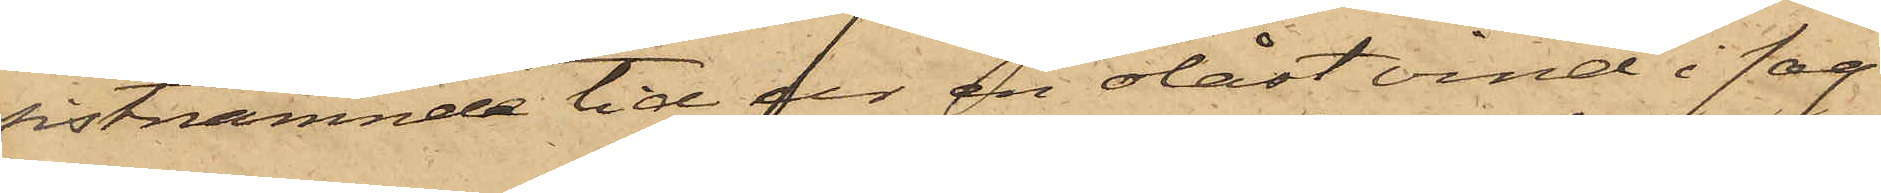sistnämnde tid ur en olåst vind i sag¬
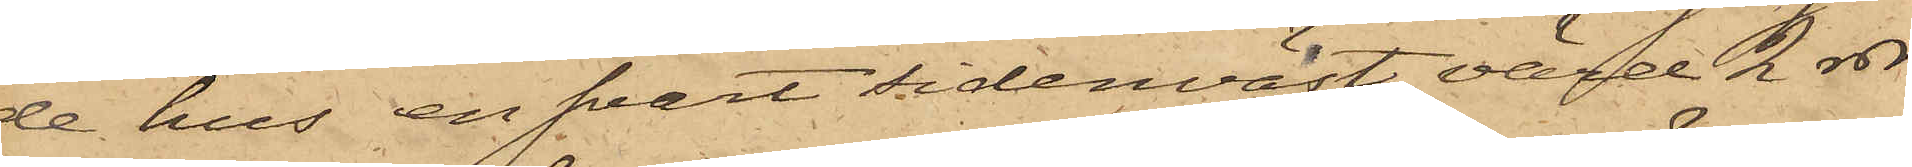de hus en svart sidenväst, värd 2 rdr
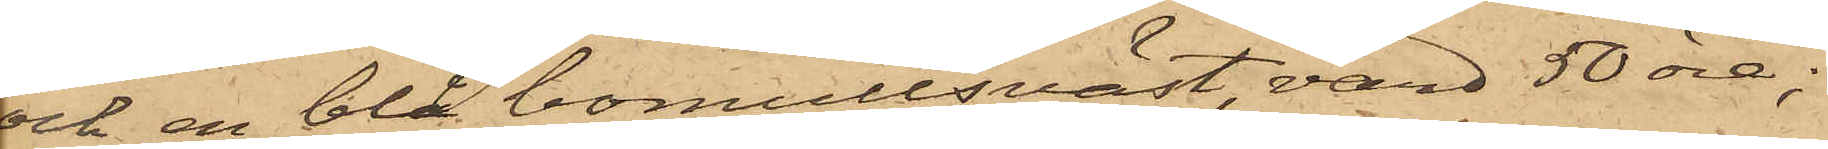och en blå bomullsväst, värd 50 öre;
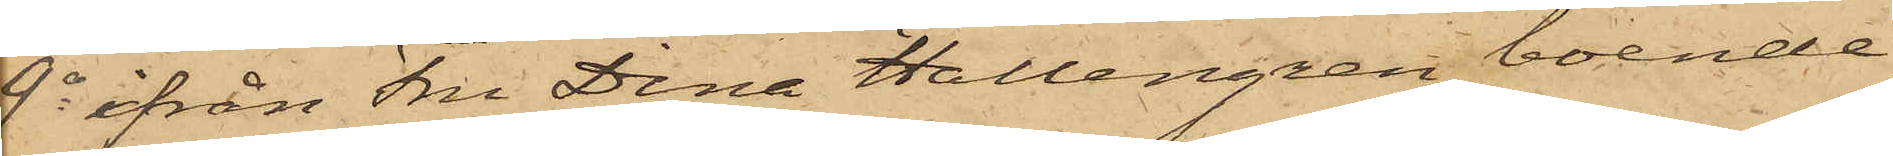9o ifrån Fru Dina Hallengren, boende
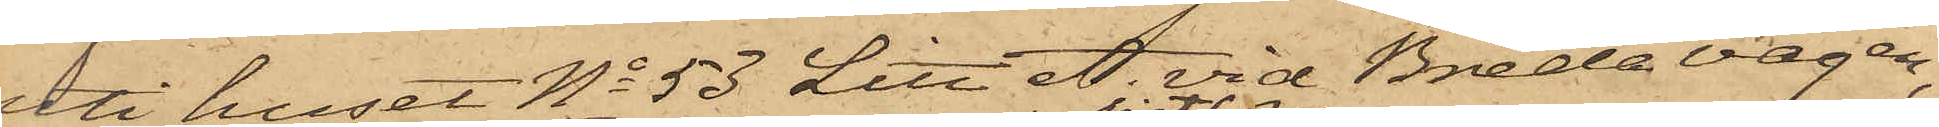uti huset No 53 Litt A. vid Breda vägen,
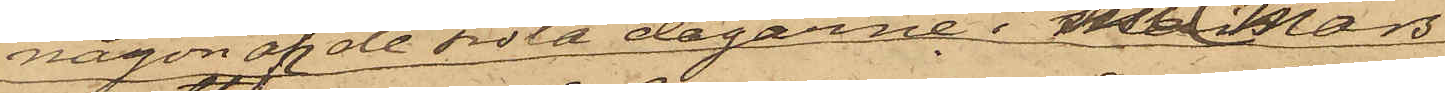någon af de sista dagarne i sistl. Mars
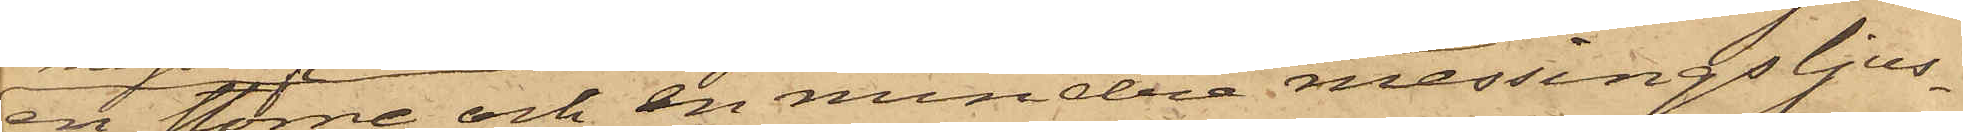en större och en mindre messingsljus¬
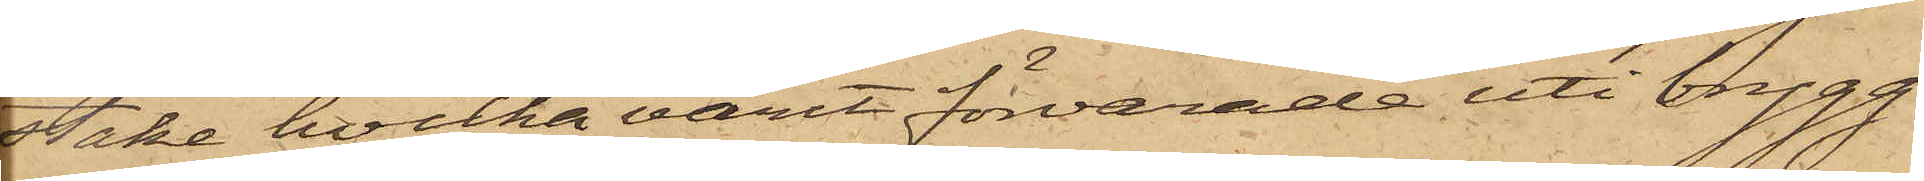stake, hvilka varit förvarade uti brygg¬
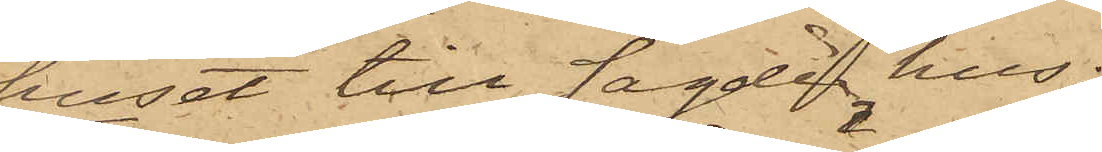huset till sagde hus.
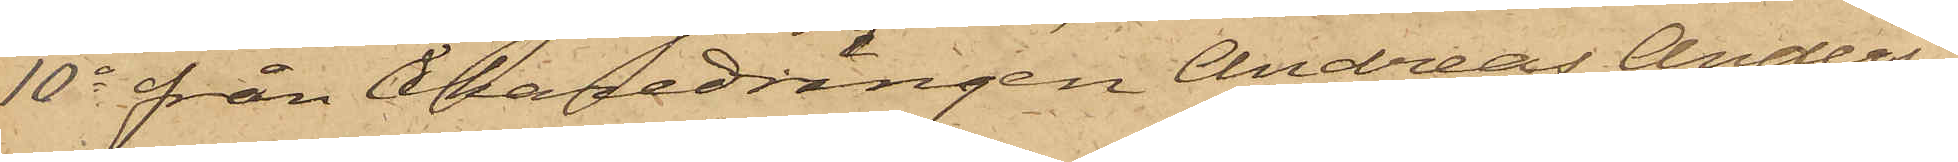10o från Åkaredrängen Andreas Anders¬
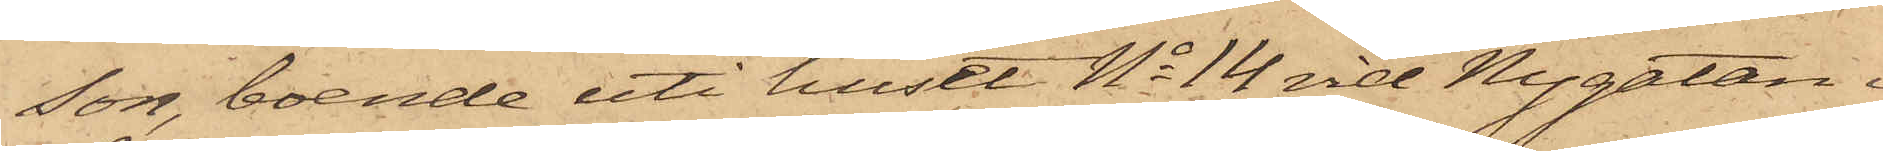son, boende uti huset No 14 vid Nygatan i
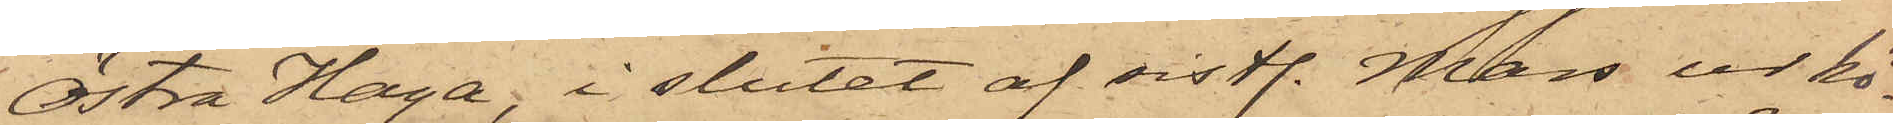Östra Haga, i slutet af sistl. Mars ur kö¬
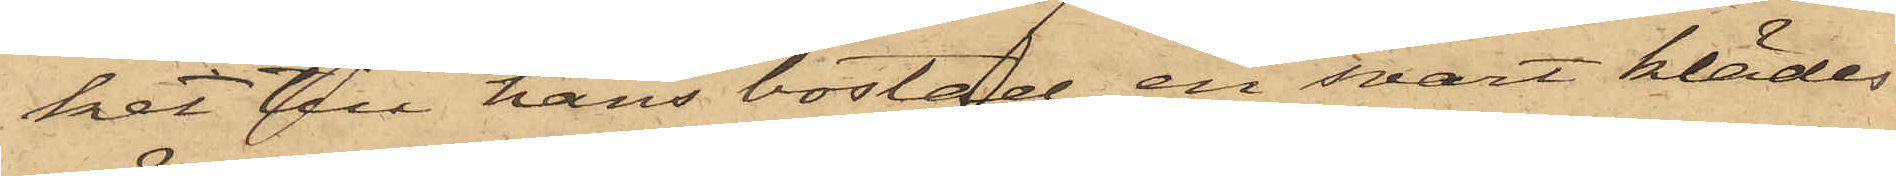ket till hans bostad en svart klädes¬
